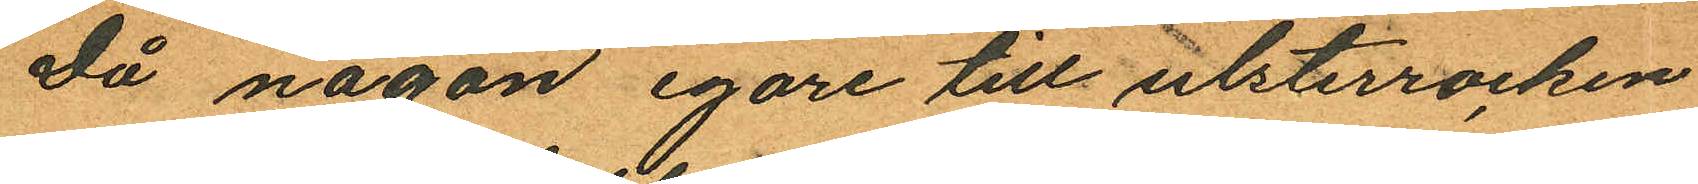Då någon egare till ultsterrocken
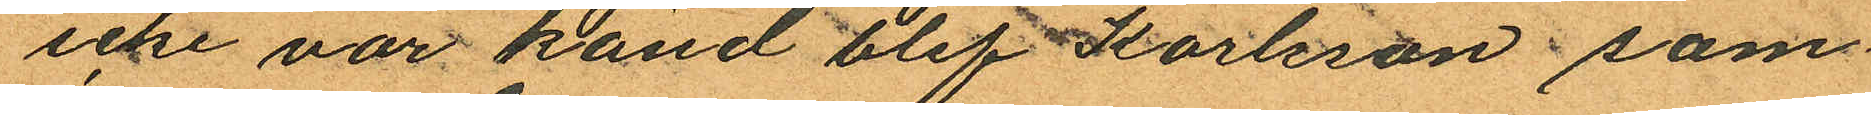icke var känd blef Karlsson sam
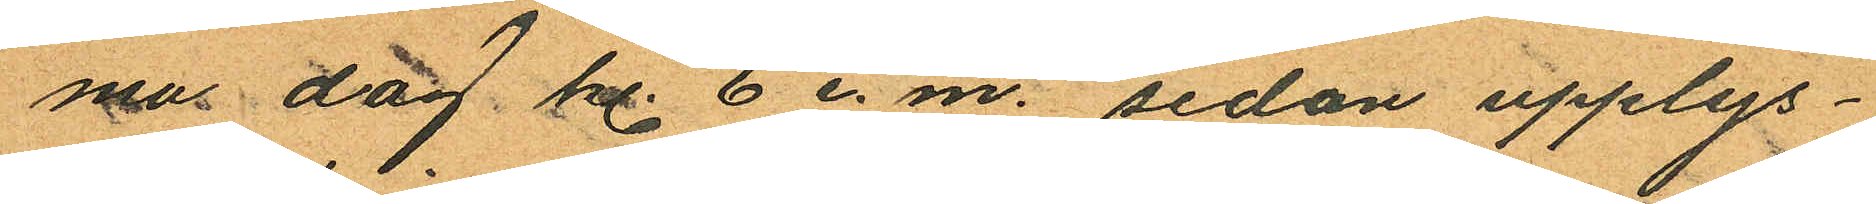ma dag kl. 6 e. m. sedan upplys¬
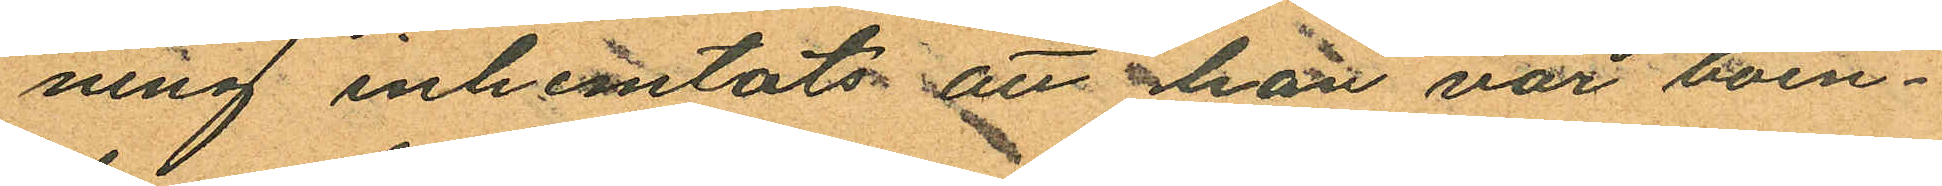ning inhemtats att han var boen¬
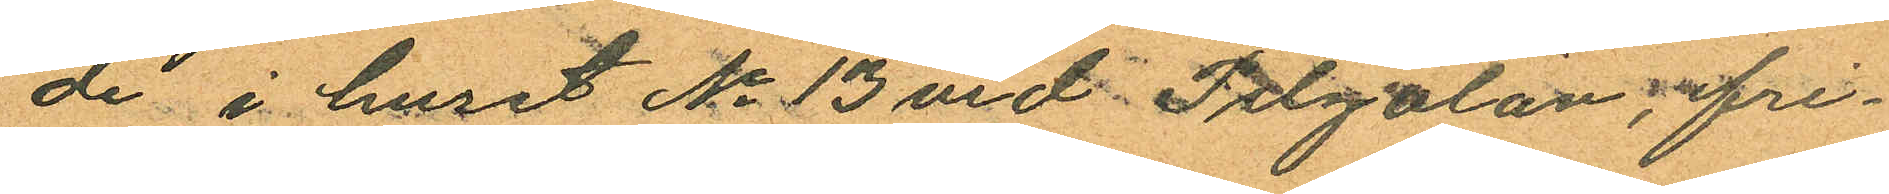de i huset No 13 vid Pilgatan, fri¬
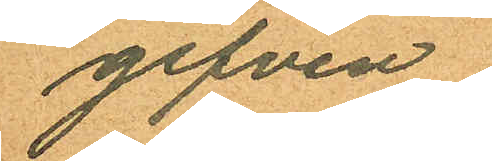gifven.
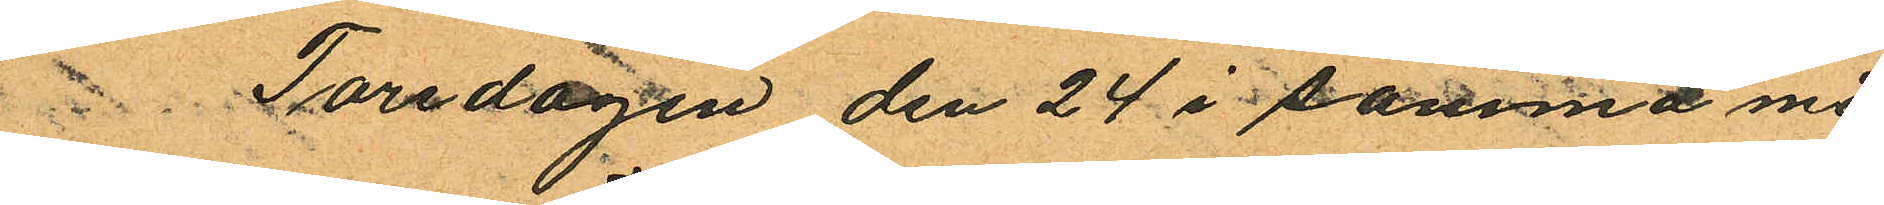 Torsdagen den 24 i samma må¬
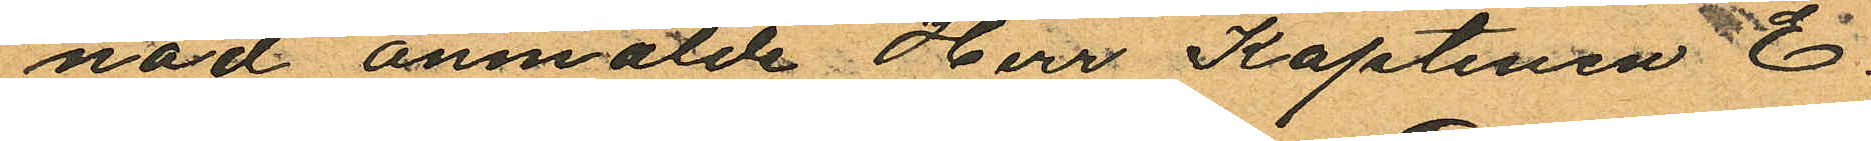nad anmälde Herr Kaptenen E.
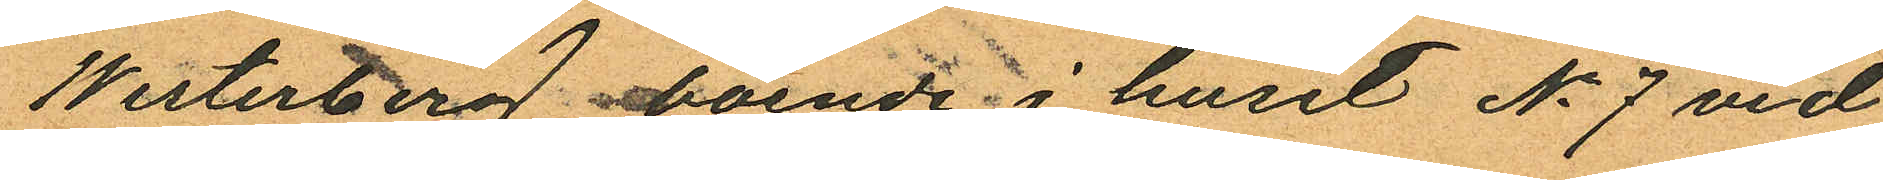Westerberg. boende i huset No 7 vid
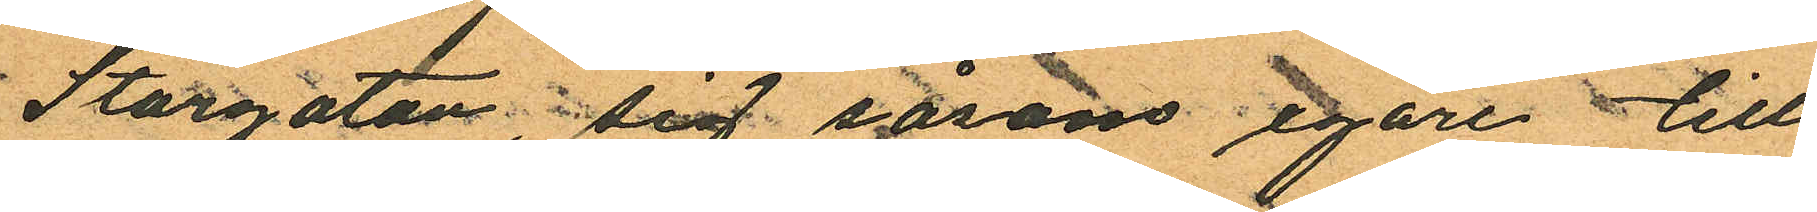Storgatan sig såson egare till
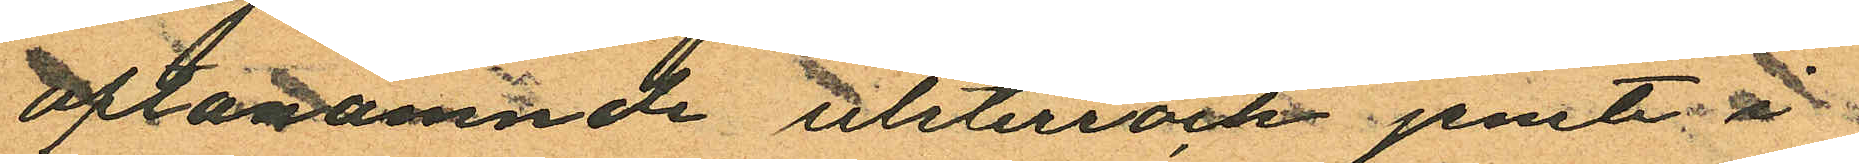oftanämnde ulsterrock jemte i
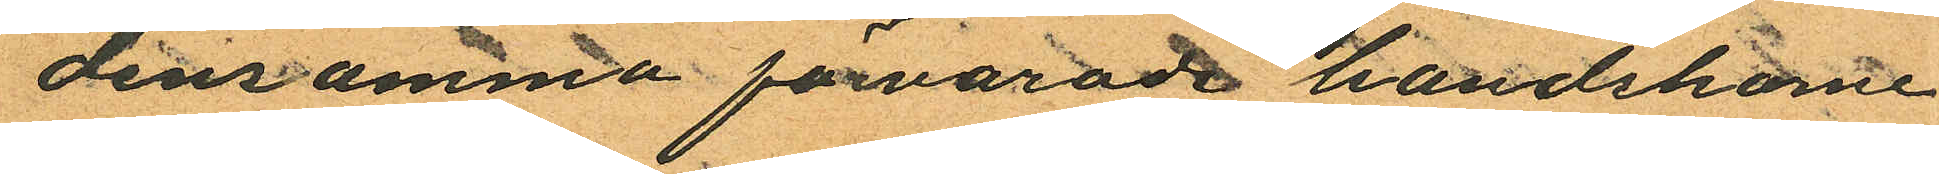densamma förvarade handskarne
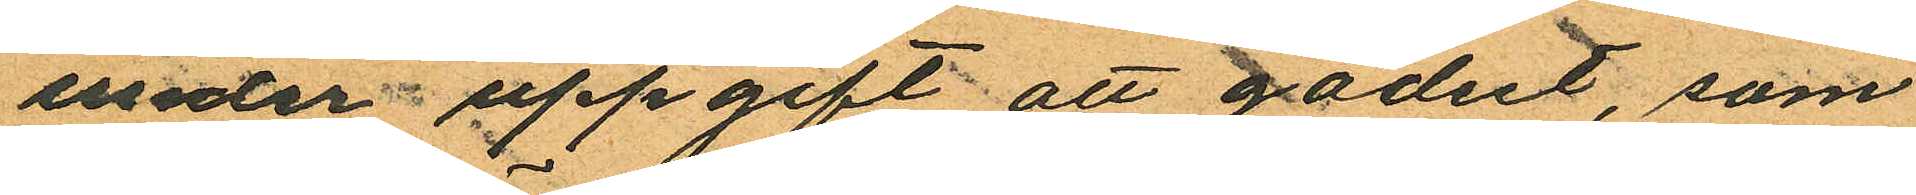under uppgift att godset, som
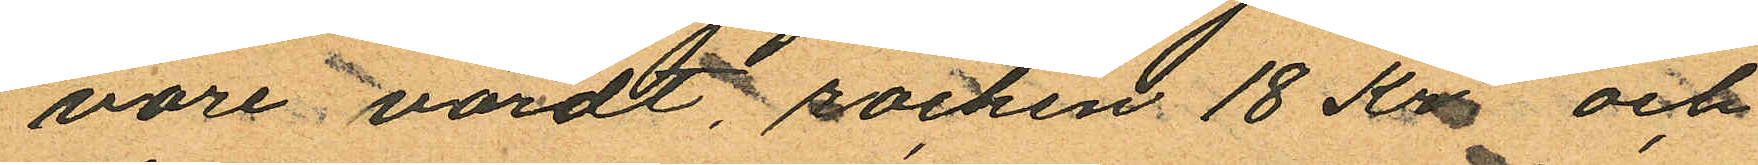vore värdt, rocken 18 Kr och
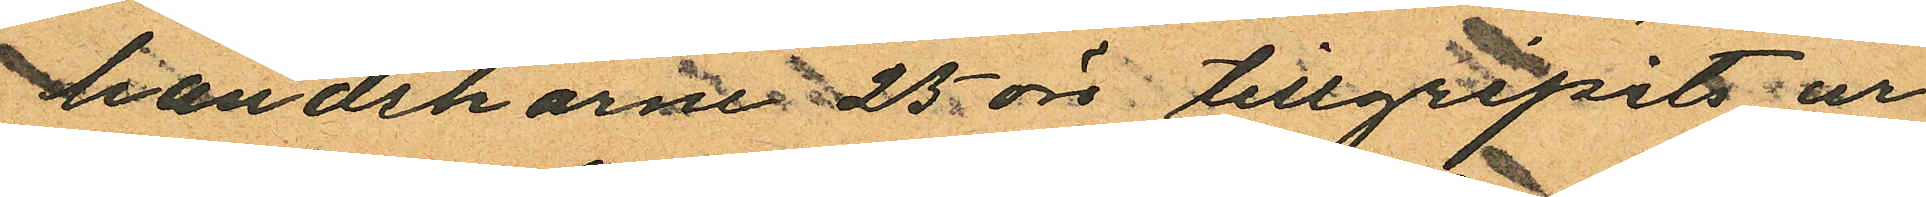handskarne 25 öre tillgripits ur
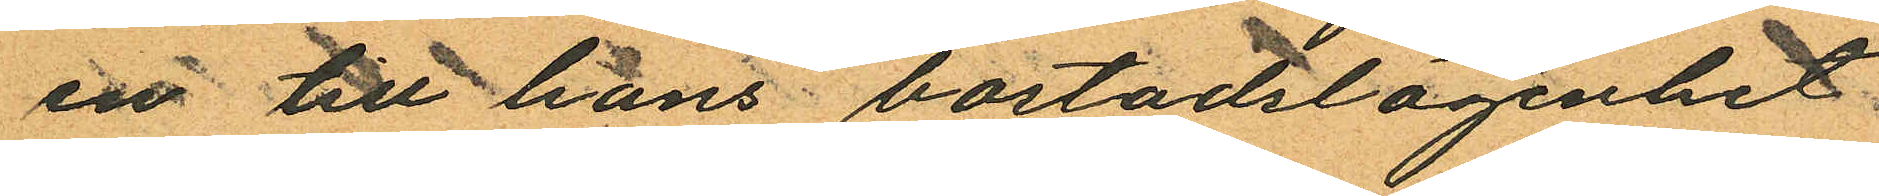en till hans bostadslägenhet
